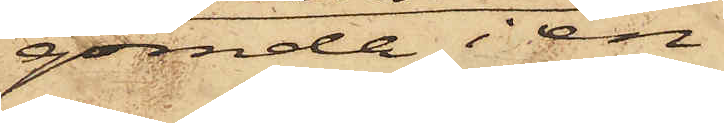gömda i en
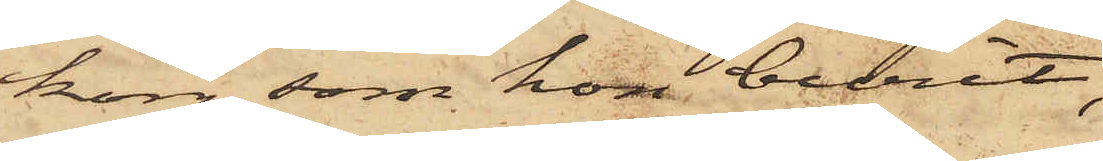korg, som hon burit,
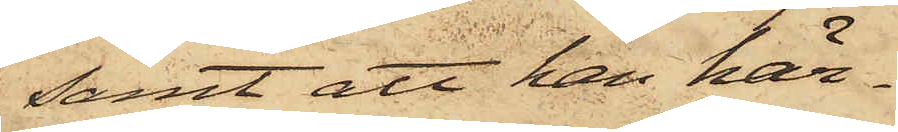samt att han här¬
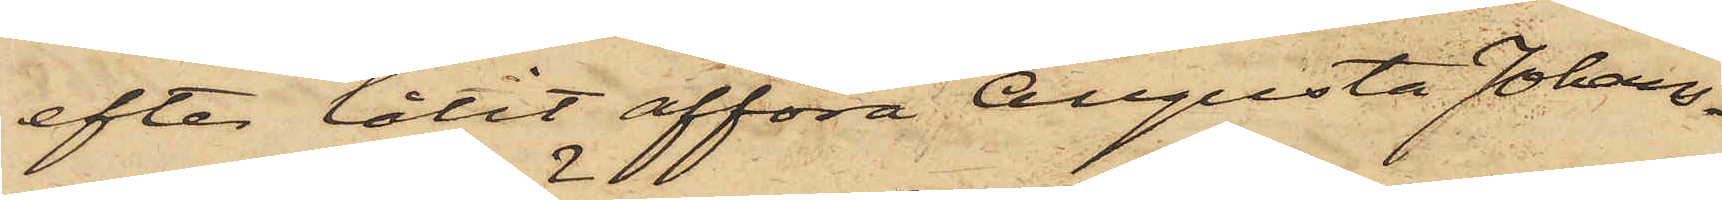efter låtit afföra Augusta Johans¬
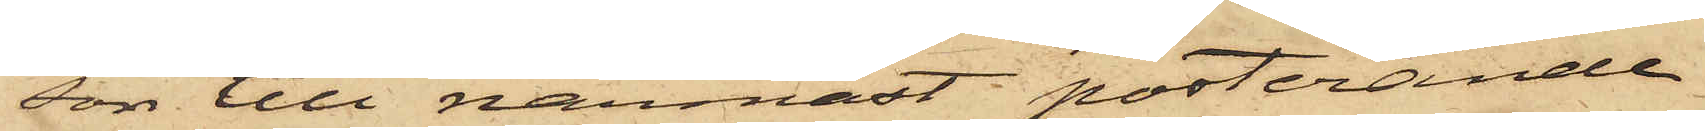son till närmast posterande
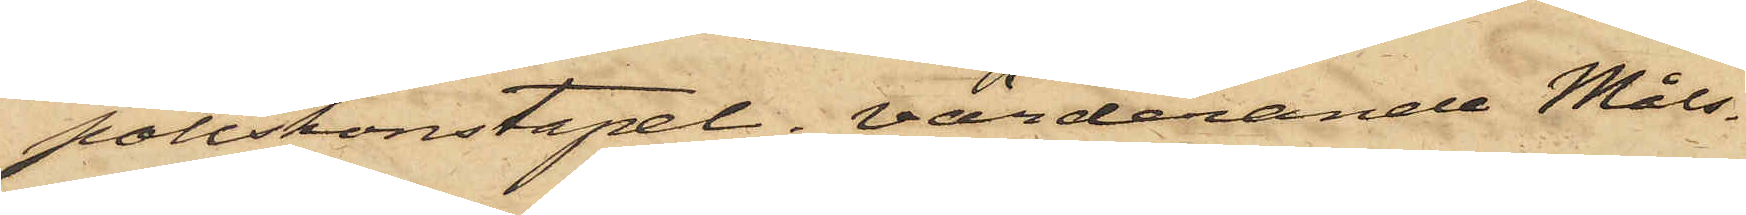poliskonstapel, värderande Måls¬
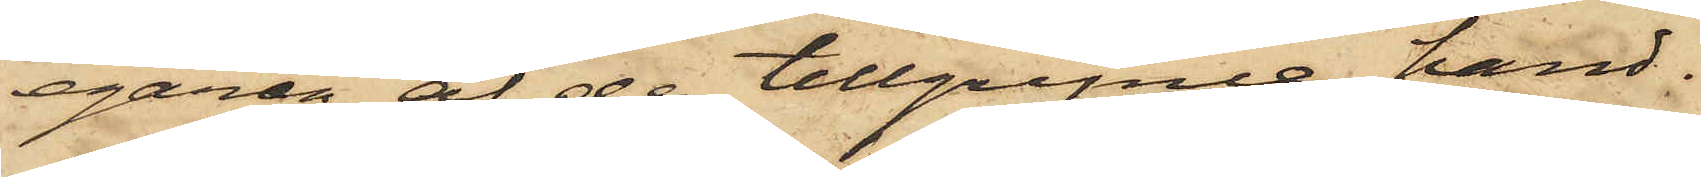egaren af de tillgripne hand¬
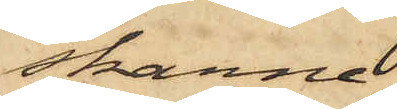skarne,
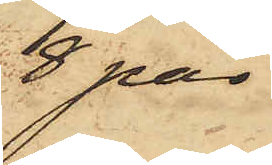8 par
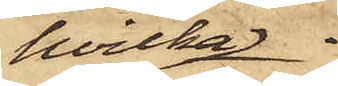hvilka
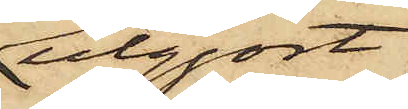utgjort
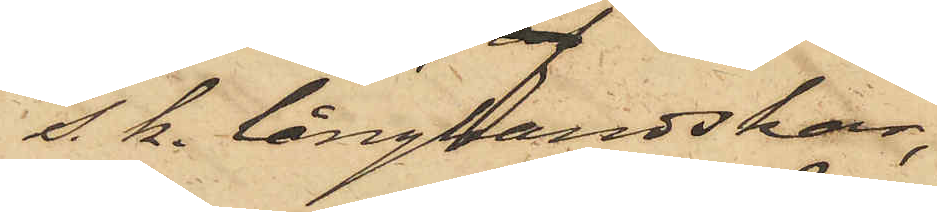s. k. långhandskar,
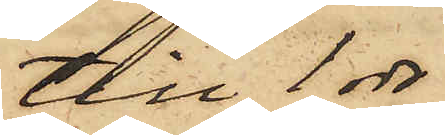till 1 rdr
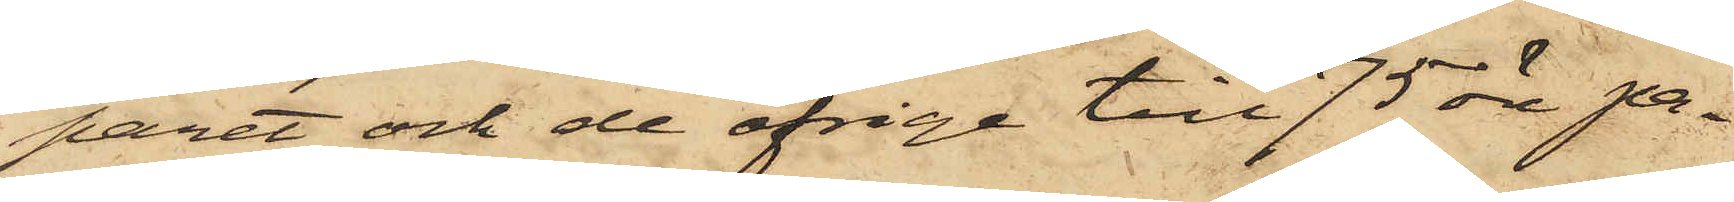paret och de öfrige till 75 öre pa¬
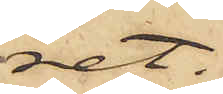ret.
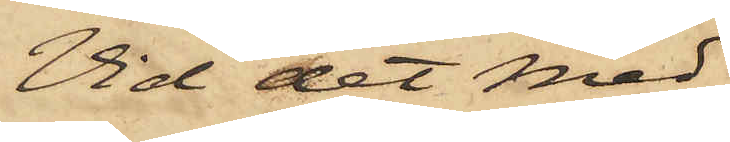Vid det med
